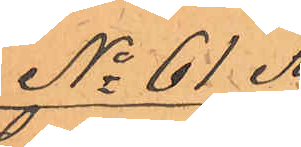No 61 A.
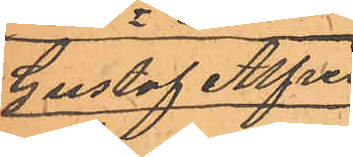Gustaf Alfred
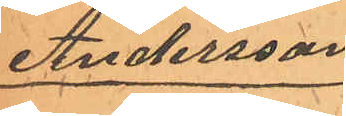Andersson
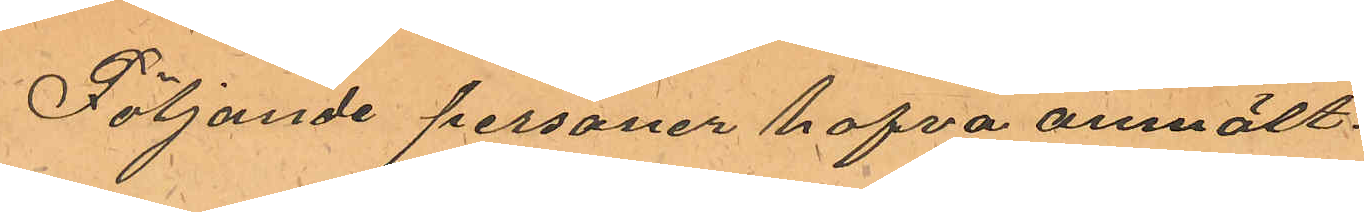Följande personer hafva anmält:
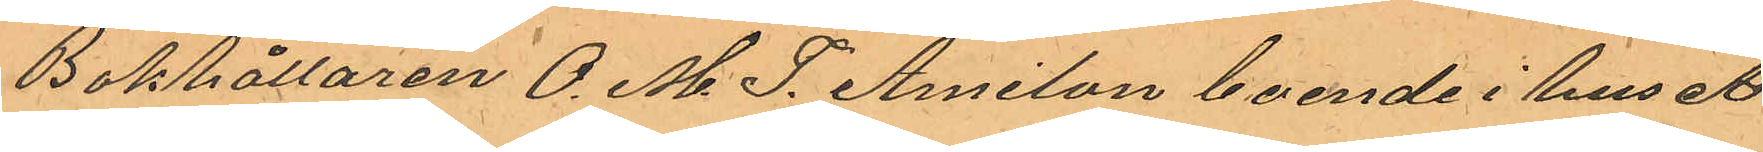Bokhållaren O. M. J. Amilon boende i huset 
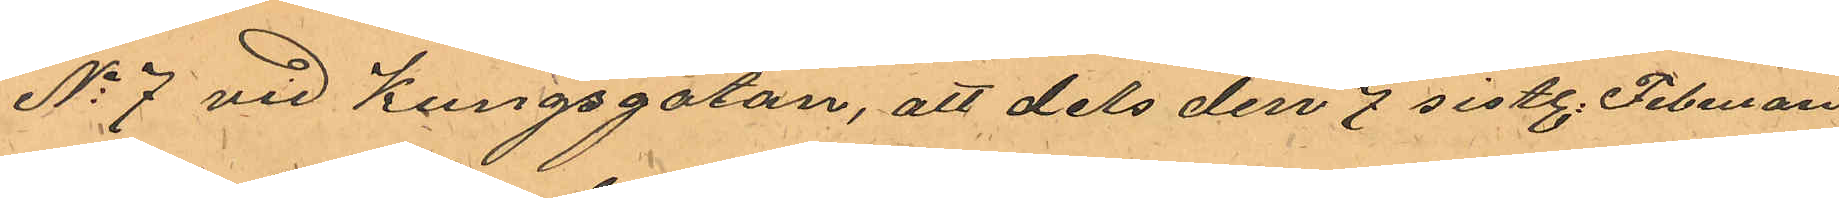No 7 vid Kungsgatan, att dels den 7 sistl. Februari
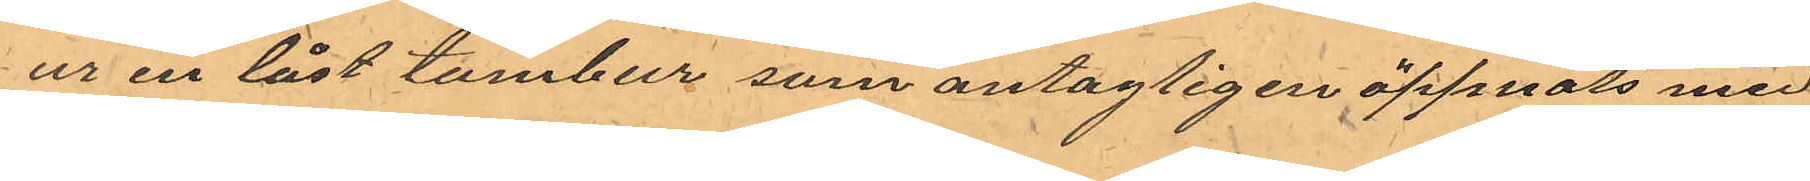ur en låst tambur som antagligen öppnats med
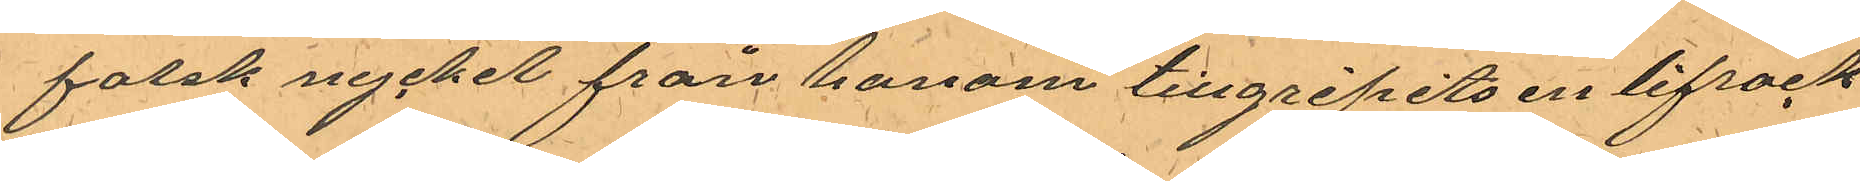falsk nyckel från honom tillgripits en lifrock
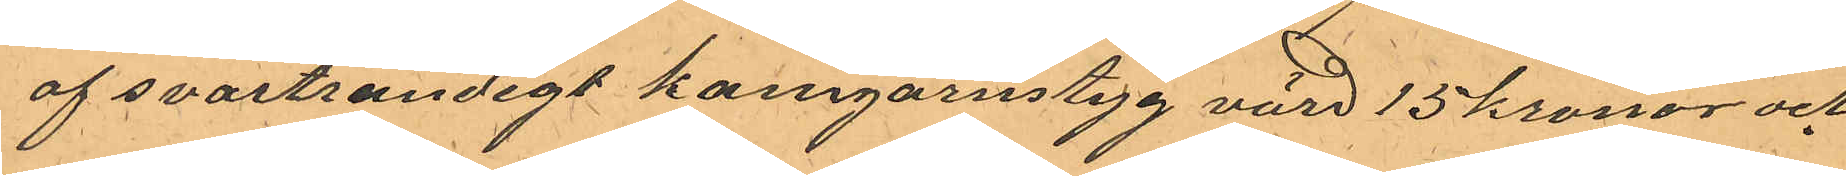af svartrandigt kamgarnstyg värd 15 kronor och
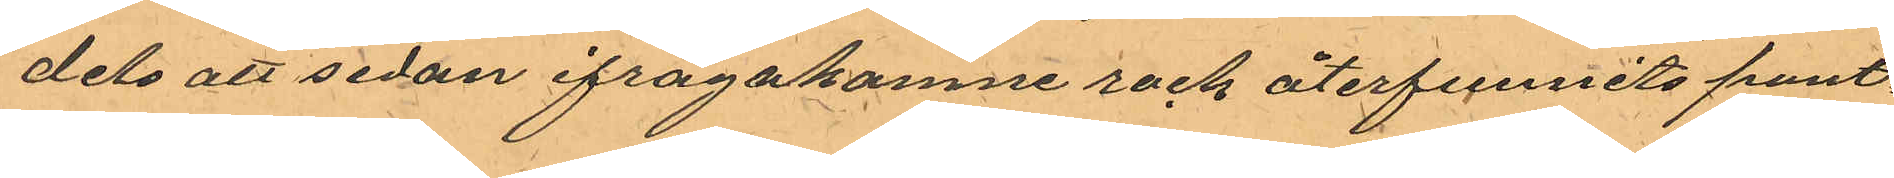dels att sedan ifrågakomne rock återfunnits pant¬
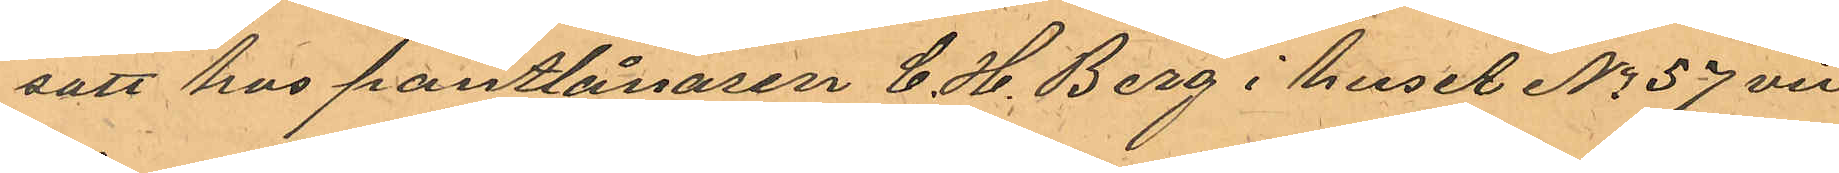satt hos pantlånaren C. H. Berg i huset No 57 vid
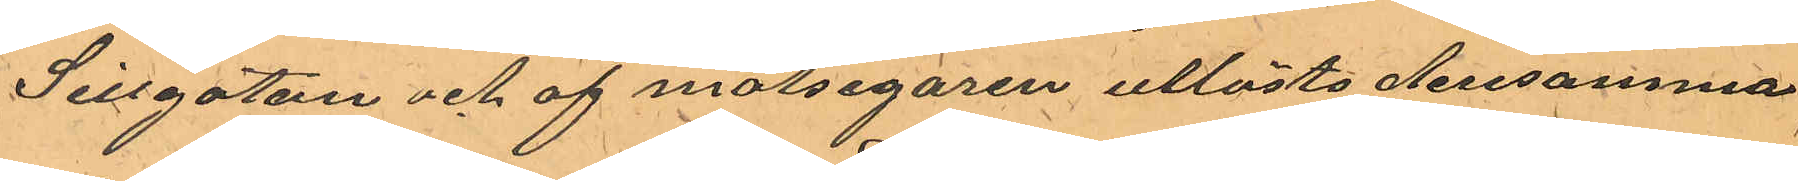Sillgatan och af målsegaren utlösts densamma
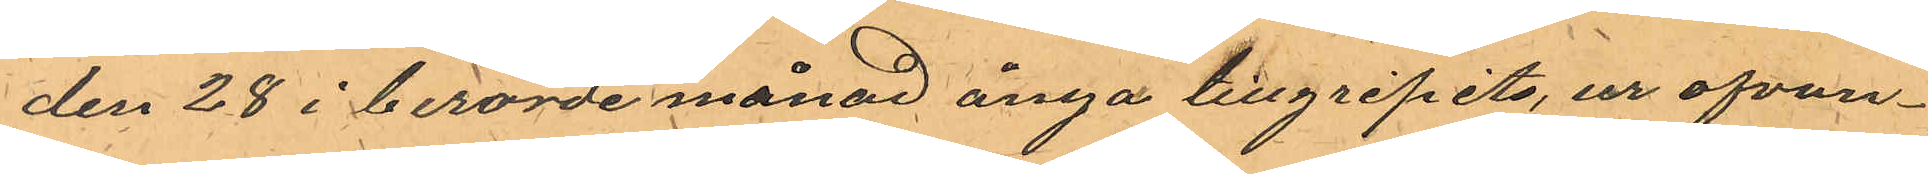den 28 i berörde månad ånyo tillgripits, ur ofvan¬
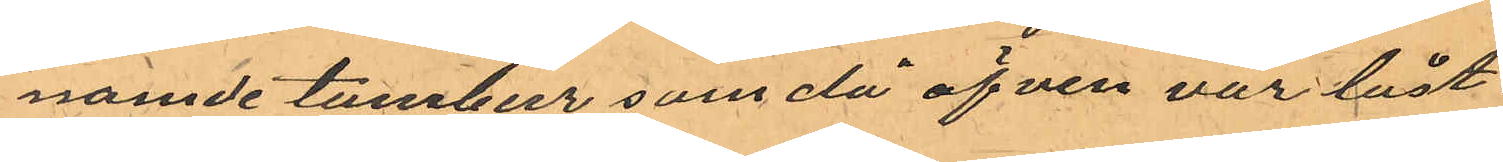namde tambur som då äfven var låst.
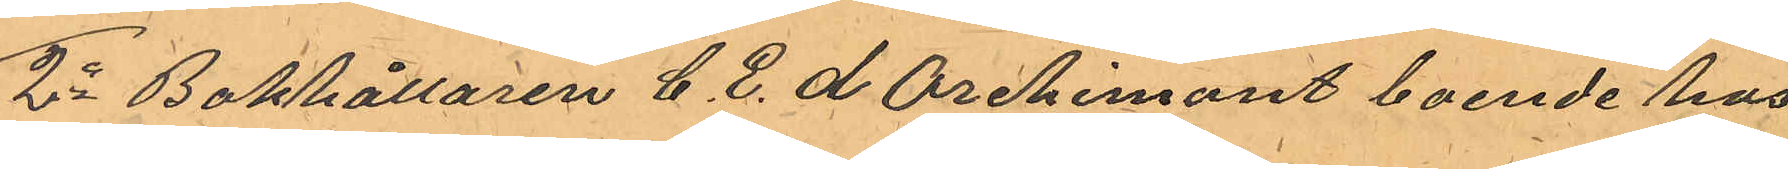2o Bokhållaren C. E. d Orchimont boende hos
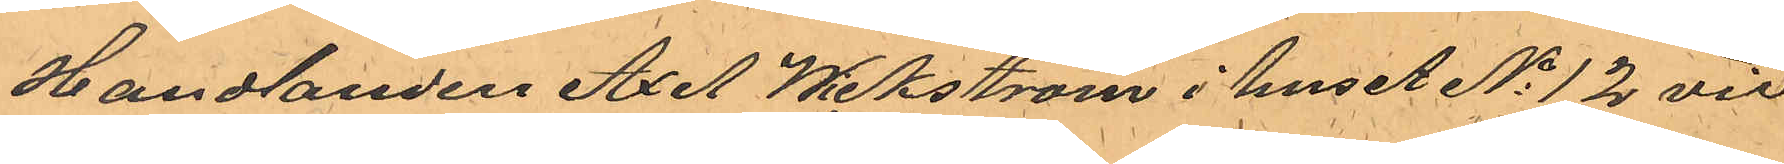Handlanden Axel Wickström i huset No 12 vid
